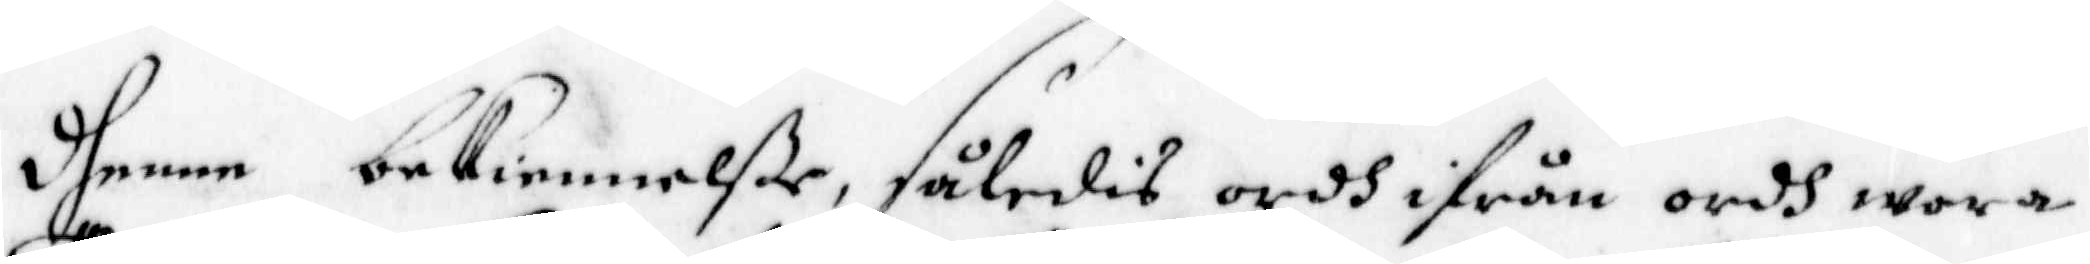dhenne bekiennelße, således ordh ifrån ordh wara
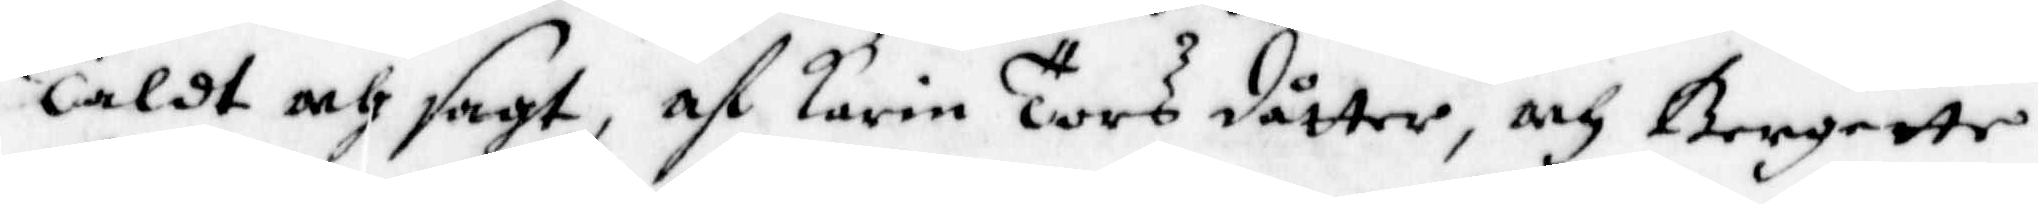Täldt och sagt, af Karin Torsdotter, och Bergette
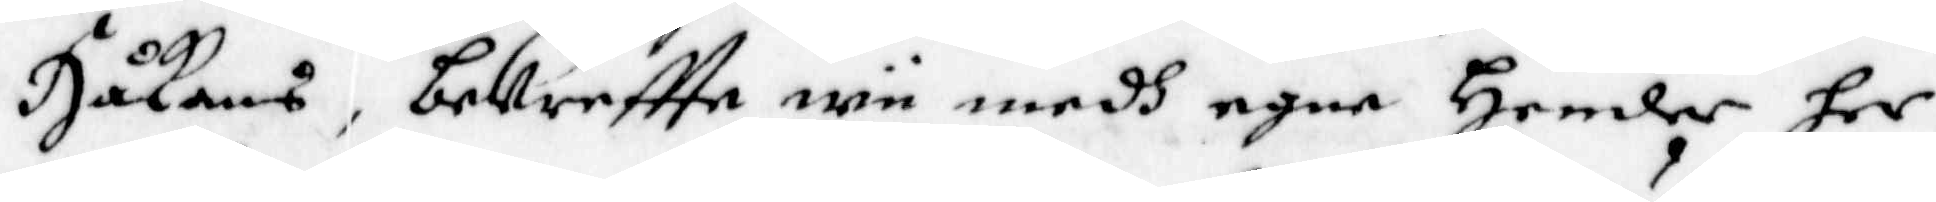Håkans, bekreftta wii medh egne Hender her
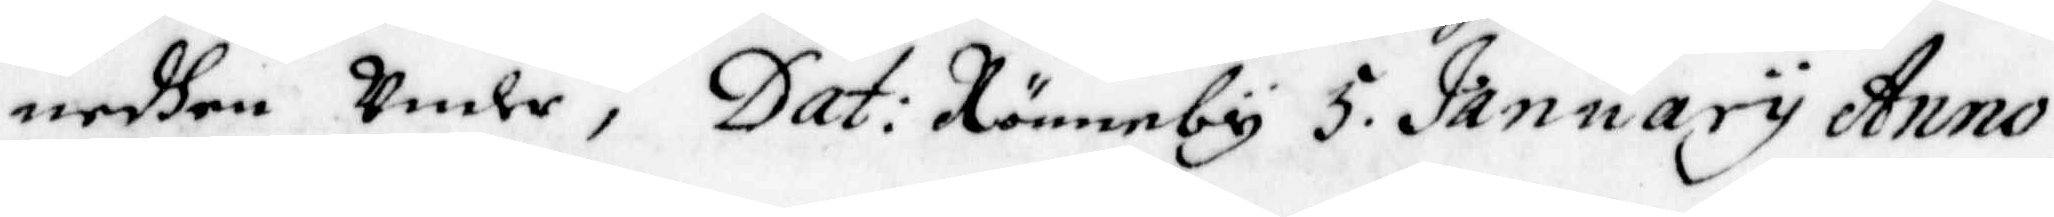nedhen Under; Dat: Rönneby 5 January Anno
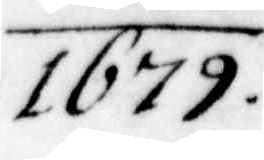1679.
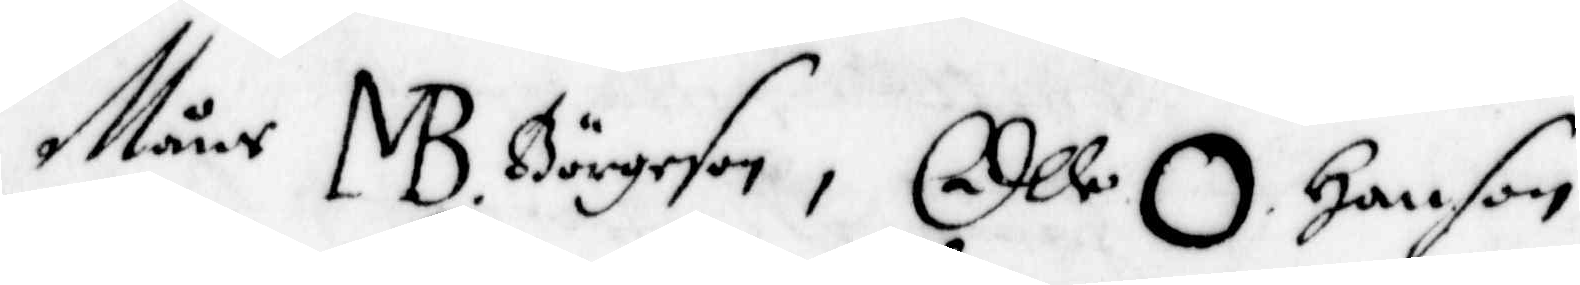Måns MB Börgeson, Olle O Hanson
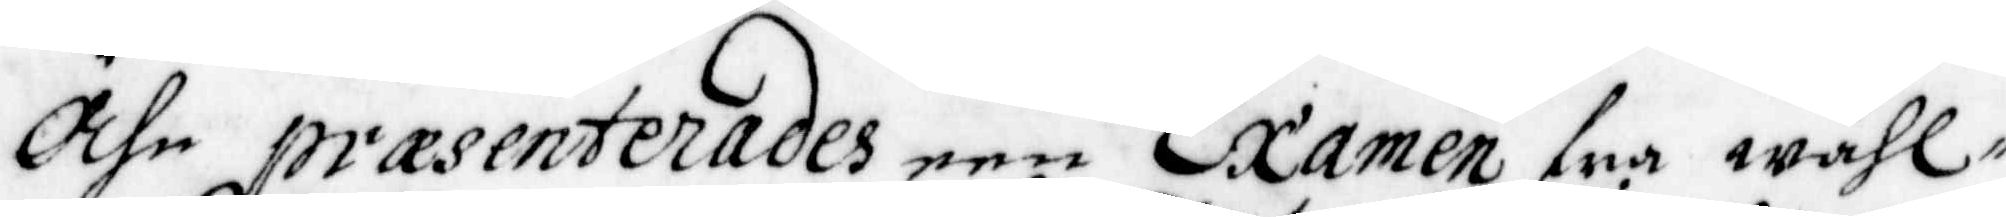Ähn præsenterades een Examen fra wähl¬
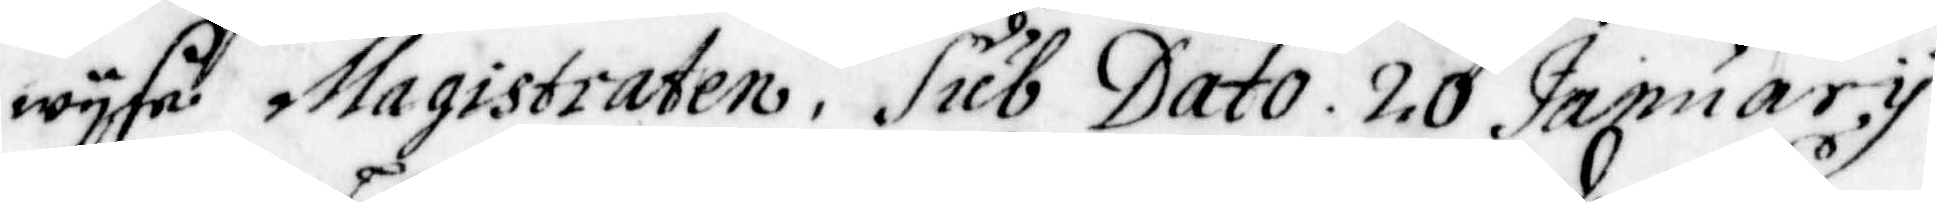wyse Magistraten, Sub Dato. 20 January
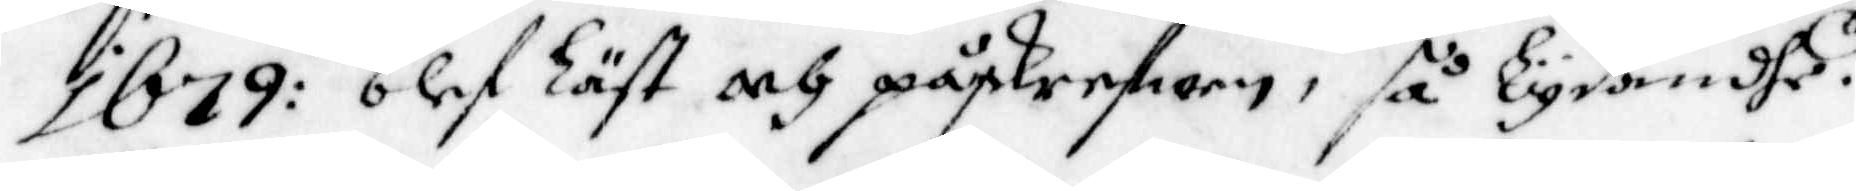1679: blef Läst och påskrefwen, så Lydandes.
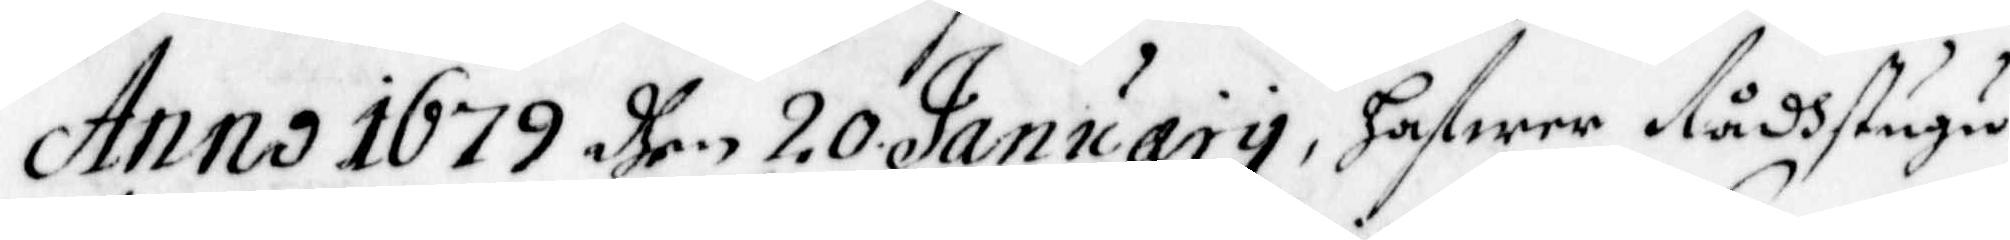Anno 1679 dhen 20 January, hafwer Rådhstugu
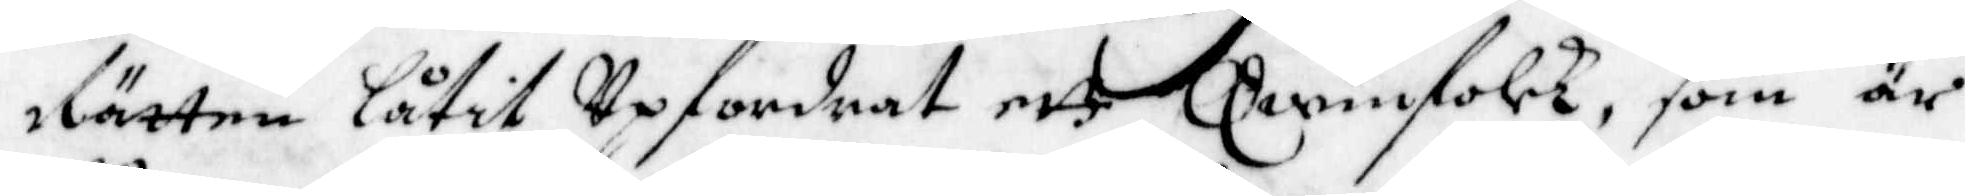Rätten låtit Upfordrat ett Qwinfolck, som är
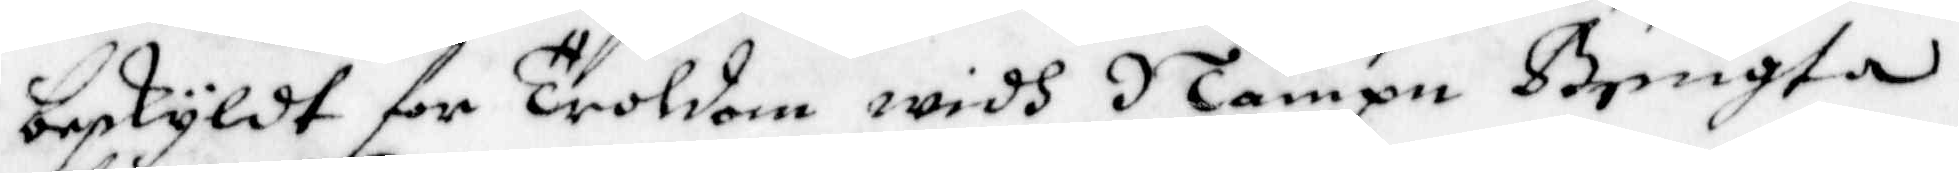beskyldt for Troldom widh Nampn Bengta
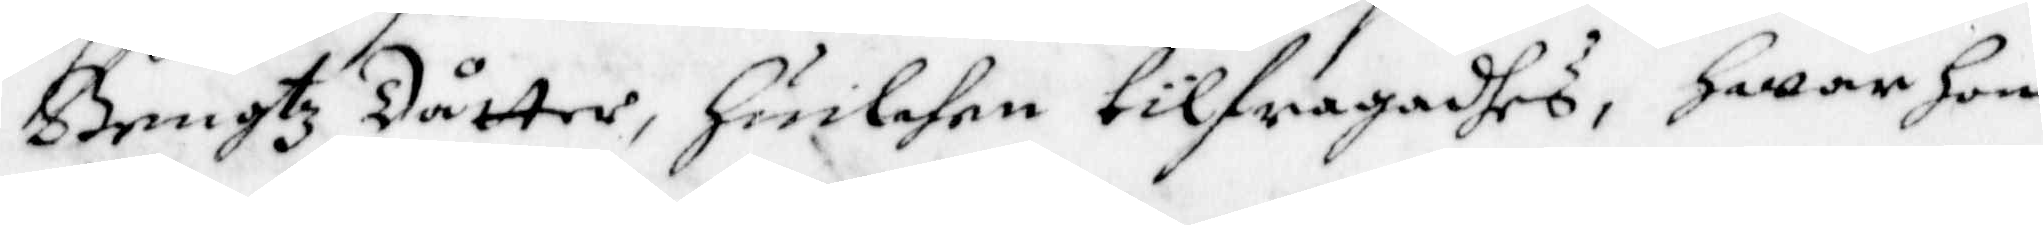Bengtz dåtter, Huilken tilfragadhes, Hwar hon
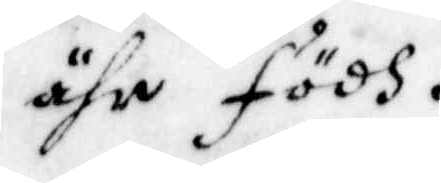ähr födh.
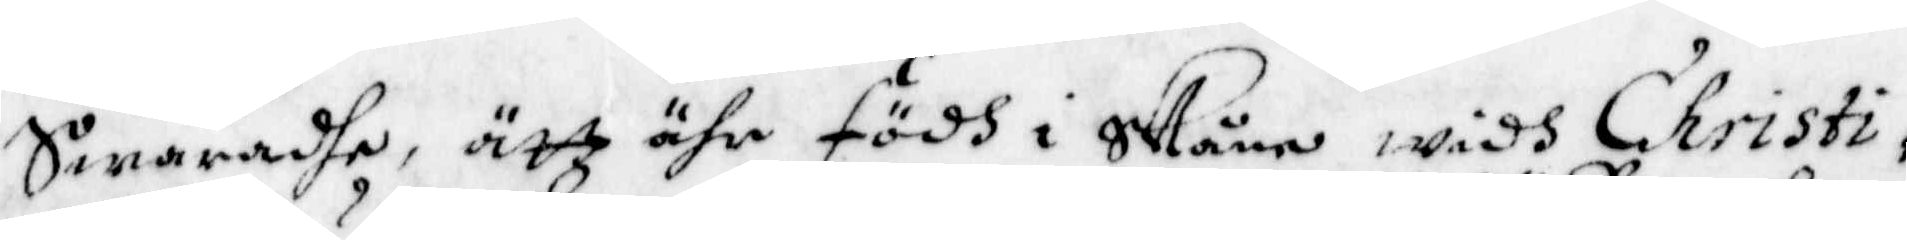Swaradhe, ätt ähr födh i Skåne widh Christi¬
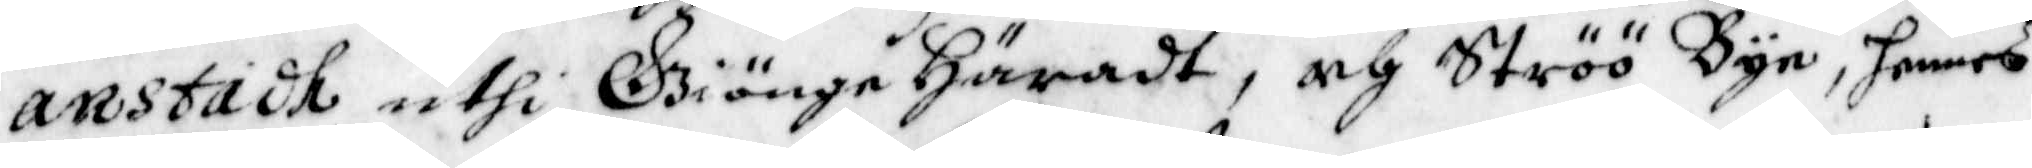anstadh uthi Giönge Häradt, och Ströö Byn, hennes
